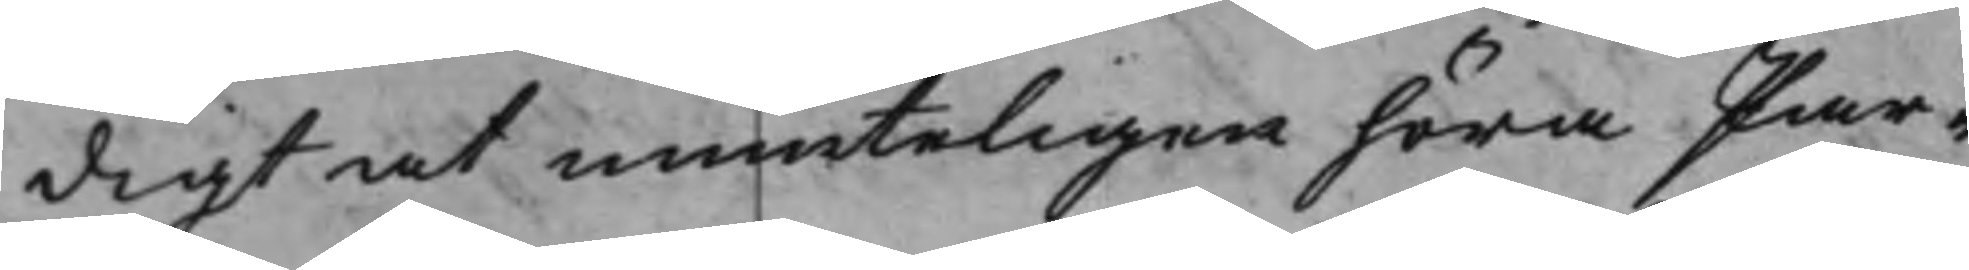digt at munteligen höra Par¬
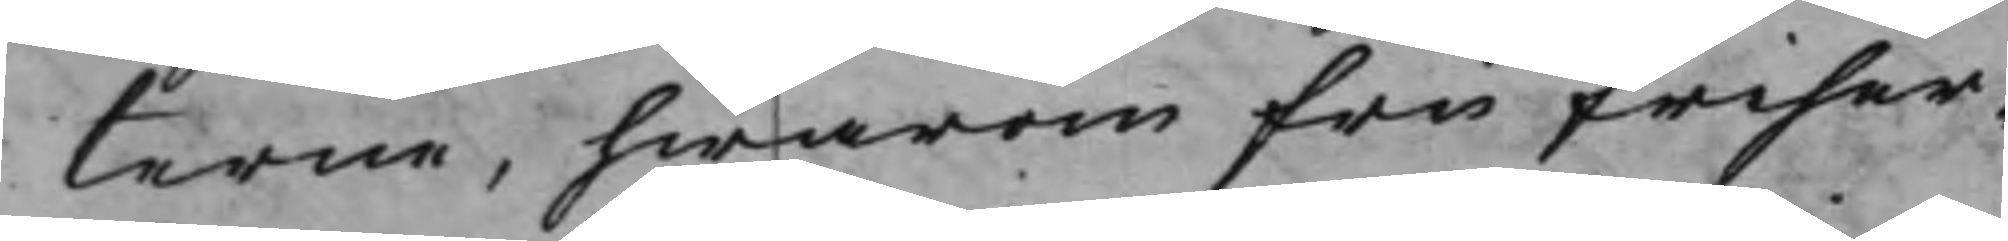terne, hwarom Fru Friher¬
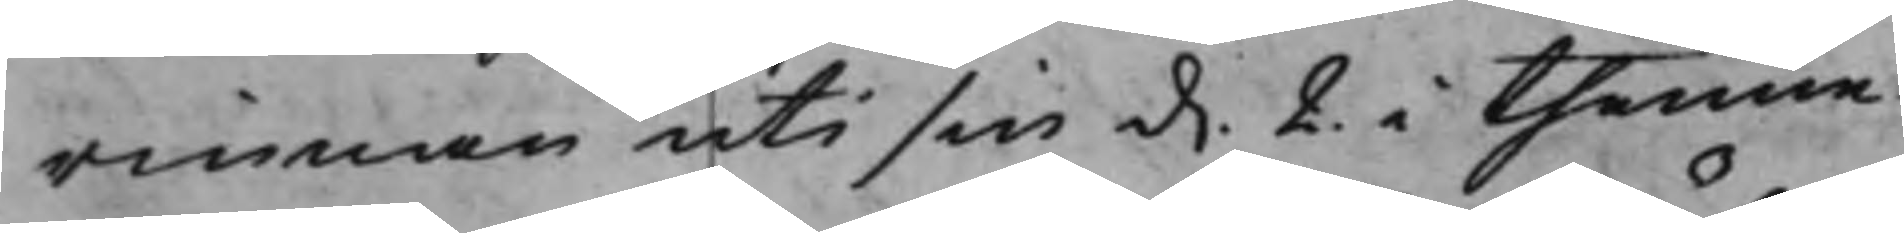rinnan uti sin d. 2 i thenne
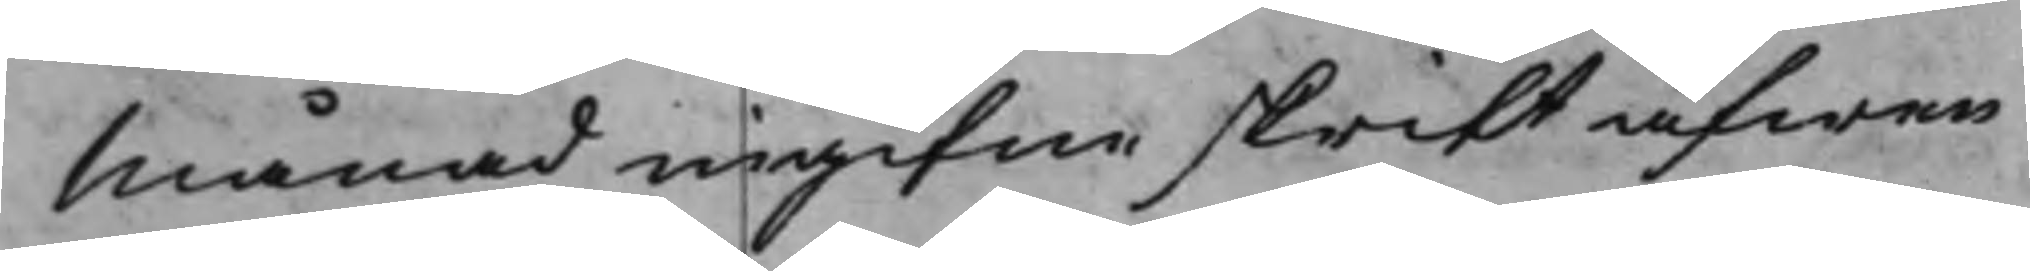Månad ingifne skrift äfwen
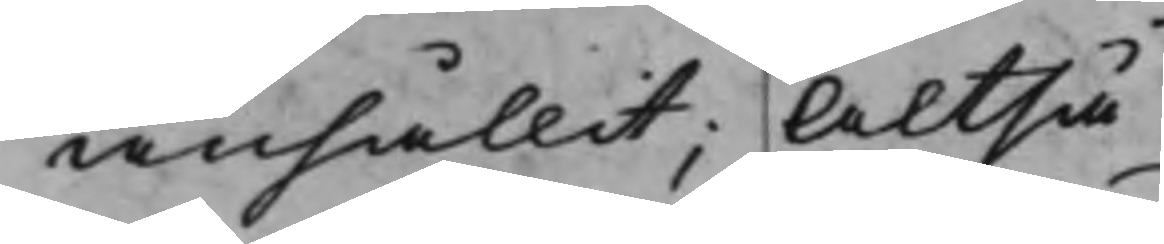anhållit; Altså
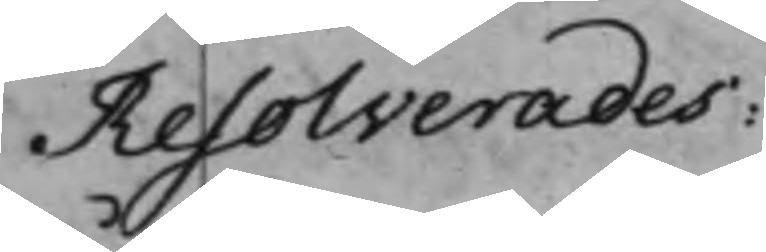Resolverades:
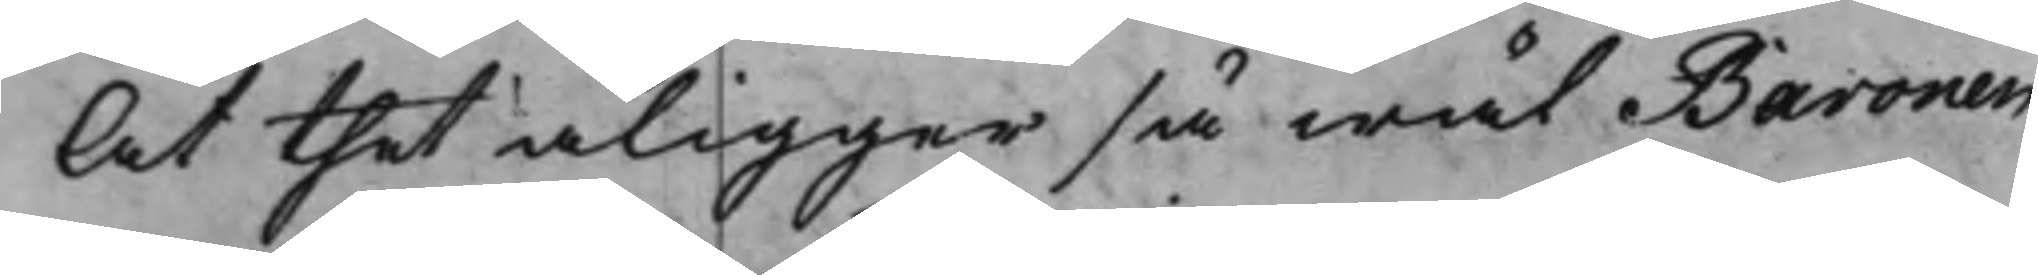At thet åligger så wäl Baronen
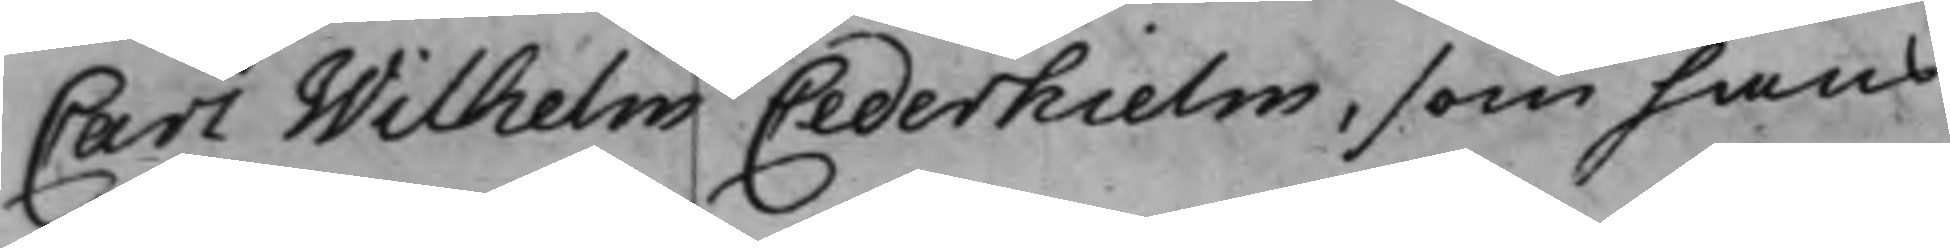Carl Wilhelm Cederhielm, som hans
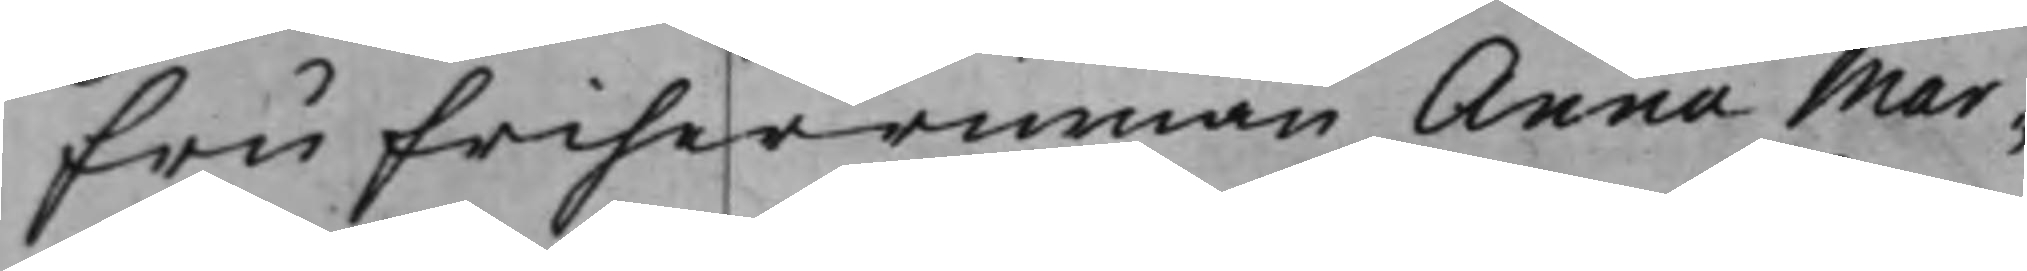Fru Friherrinnan Anna Mar¬
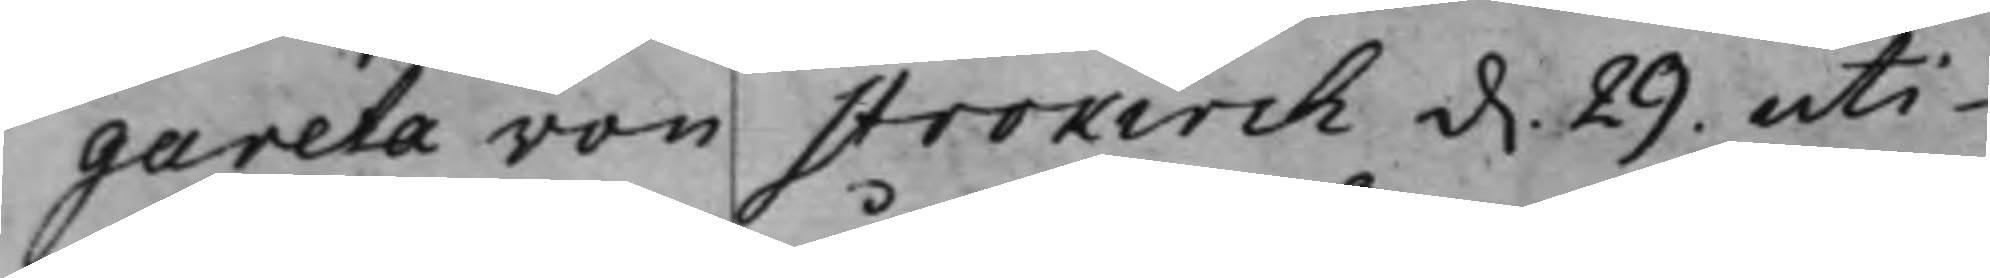gareta von Strokirch d. 29. uti
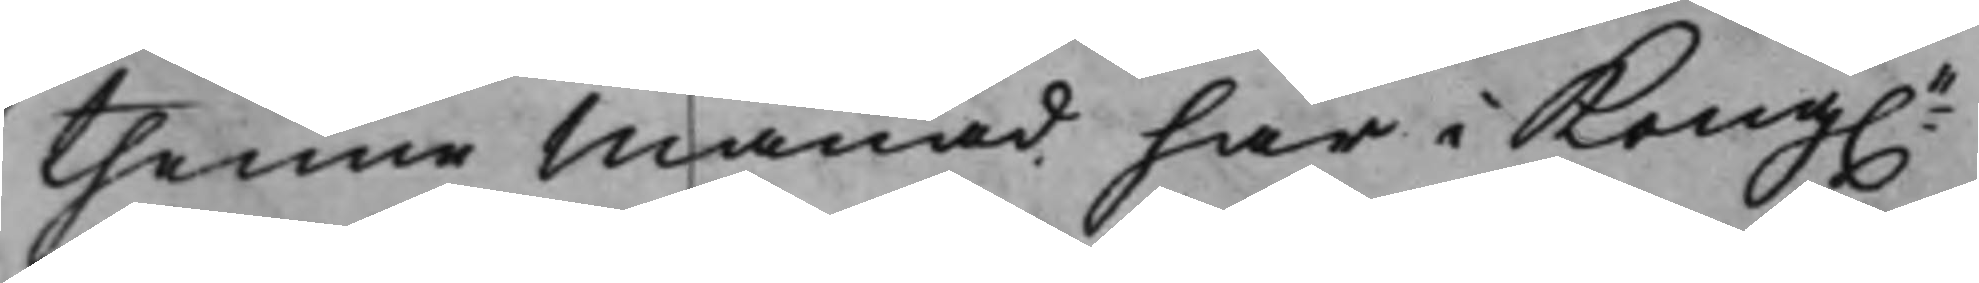thenne Månad här i Kong.e
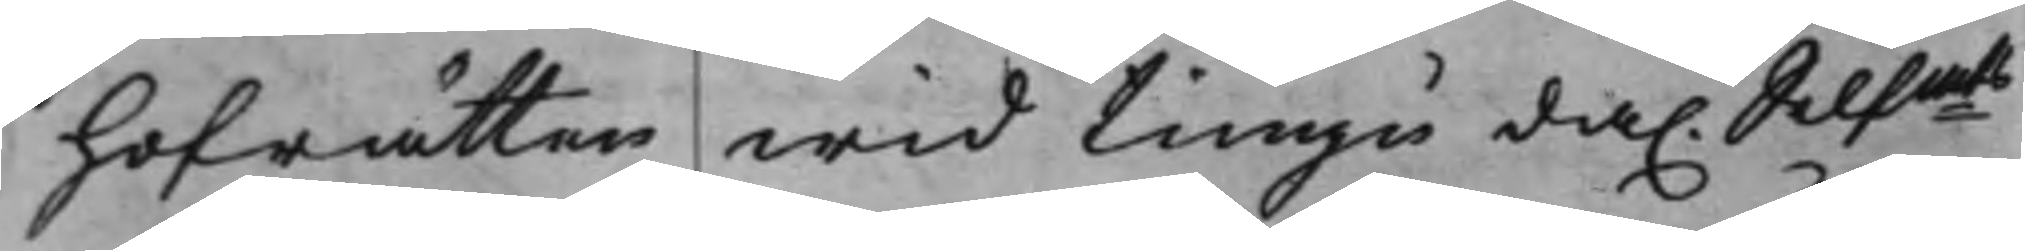Hofrätten wid tiugu da. Silfmts
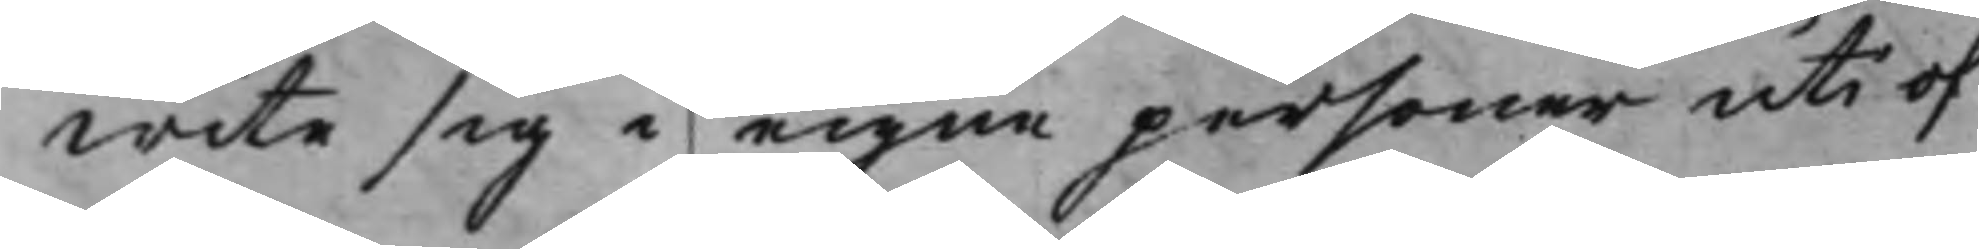wite sig i egne personer uti of¬
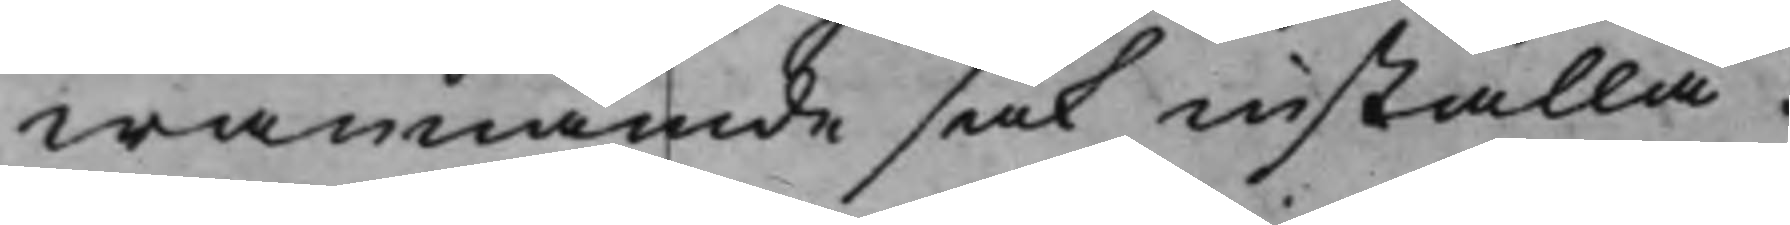wannämde sak inställa.
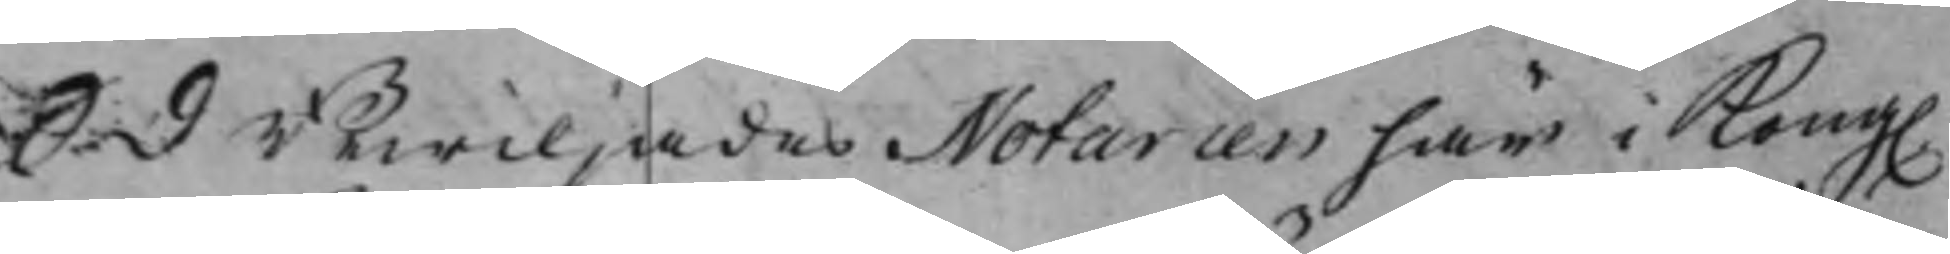S. d Bewiljades Notarien här i Kong.
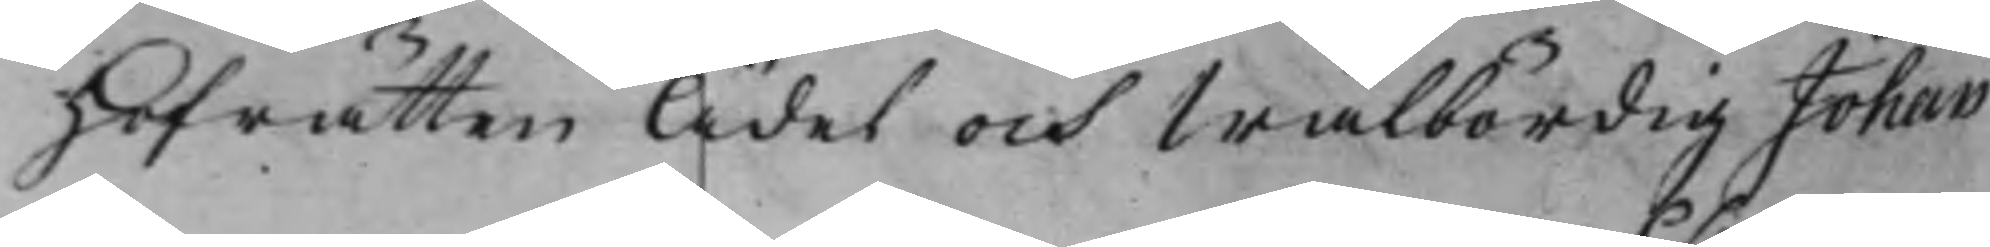Hofrätten Ädel och Wälbördig Johan
